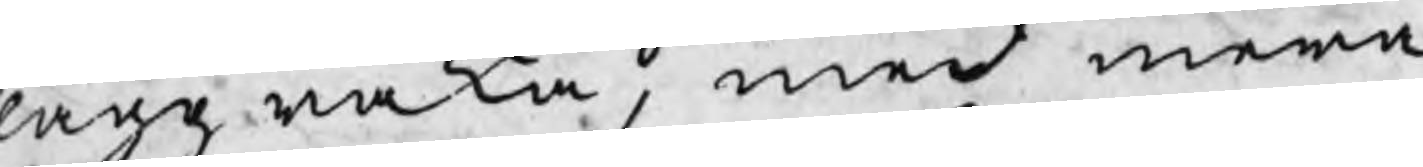laggraka, med mera
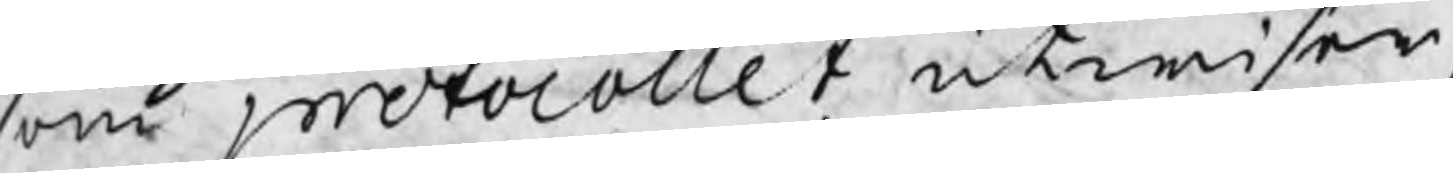som protocollet utwisar,
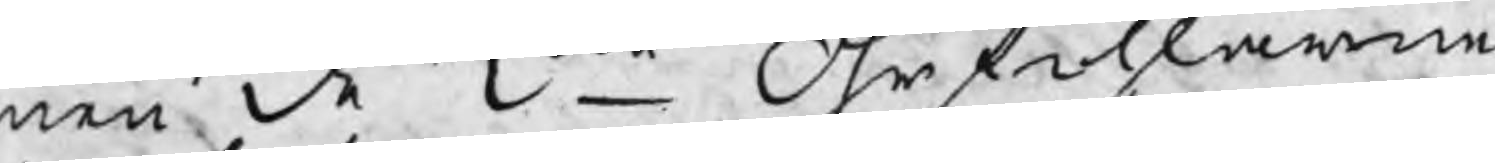men de 2ne Öhrfihlarne
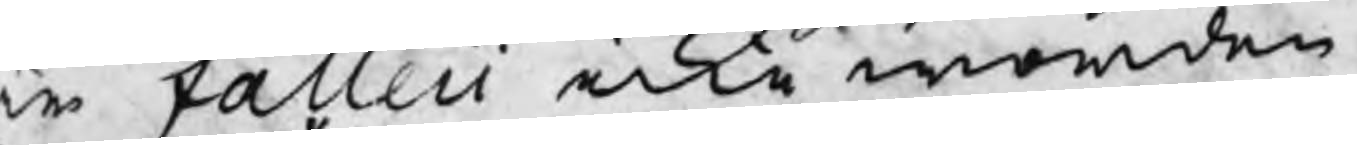r falleii icke worden
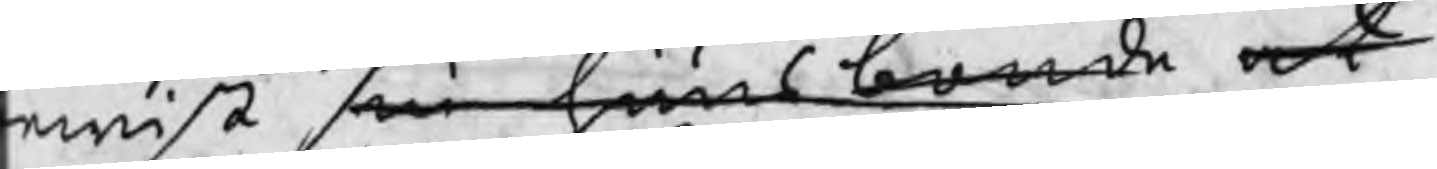ewist sin huusbonde at
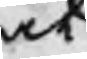at
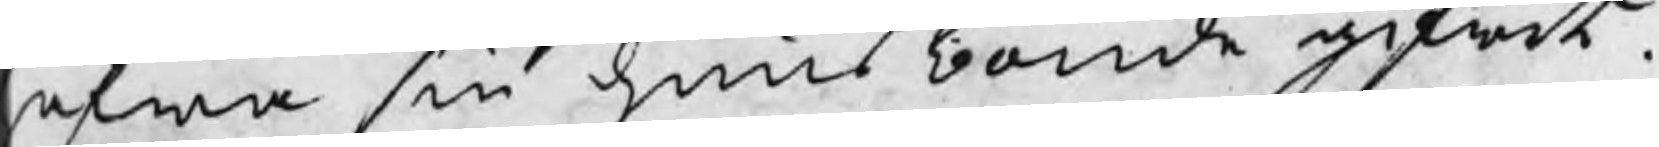afwa sin huusbonde gifwit.
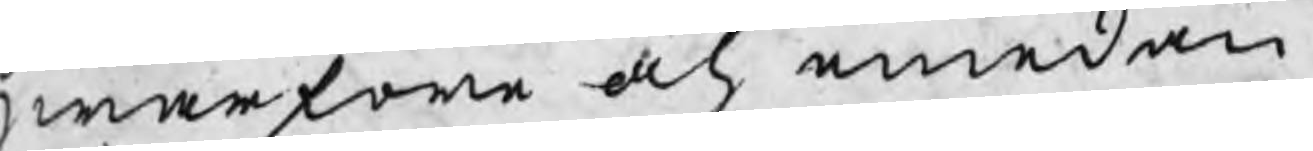Hwarföre och emedan
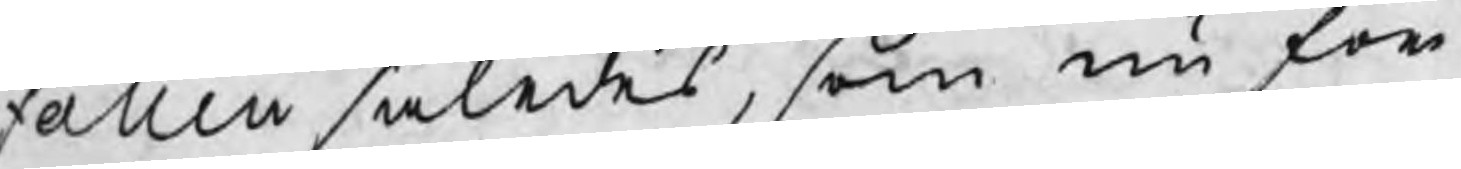Falleii således, som nu för
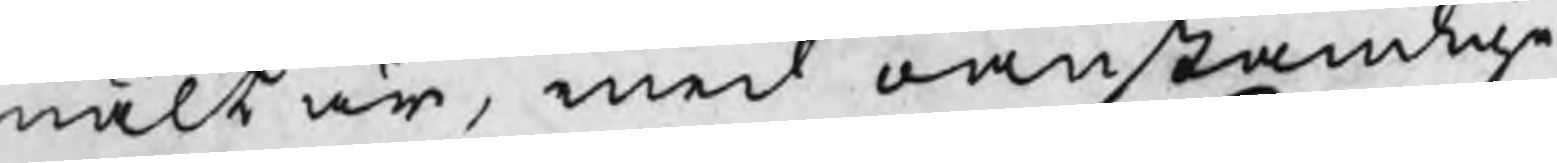mält är, med oanständige
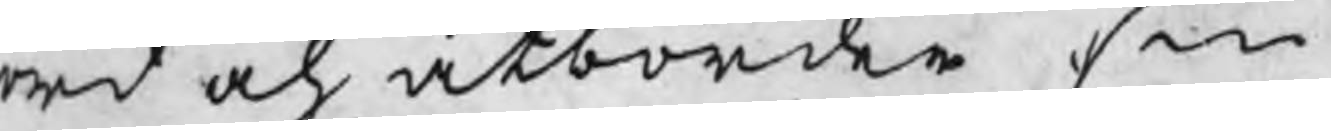ord och åtbörder sin
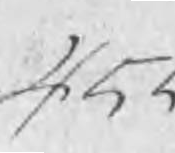455
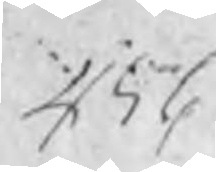456
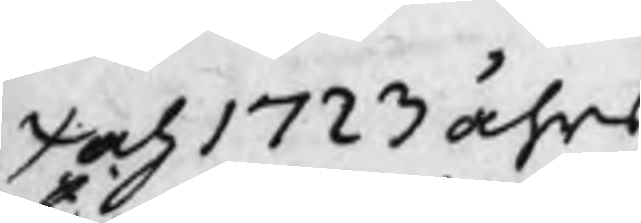I 1723 åhrs
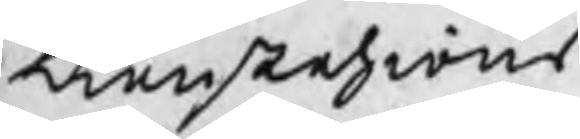tienstehions
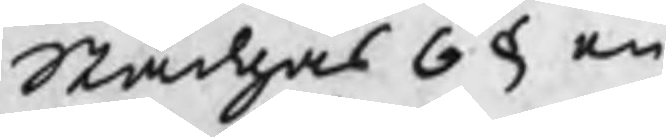Stadgas 6 § en¬
